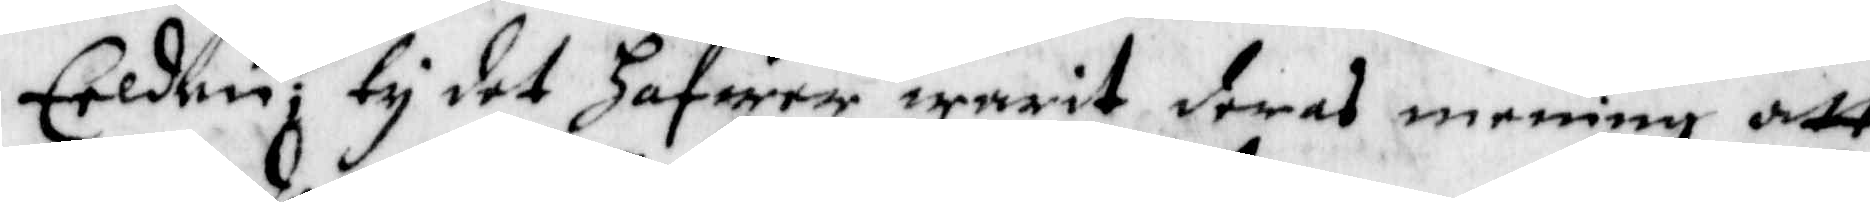Eelden; ty det hafwer warit deras medning att
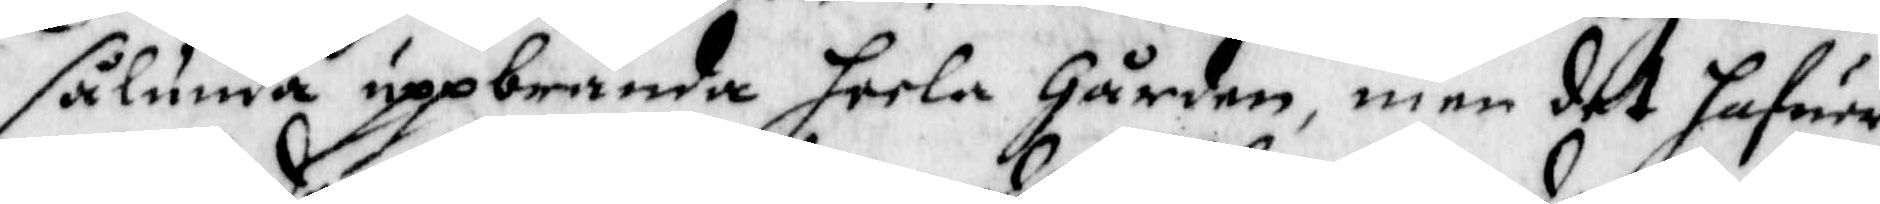sålunda uppbrända heela Gården, men det hafwer
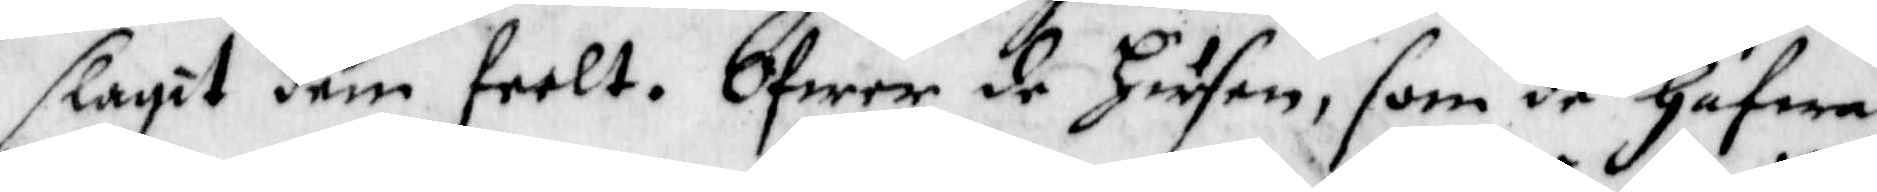slagit dem feelt, Ofwer de husen, som de hafwa
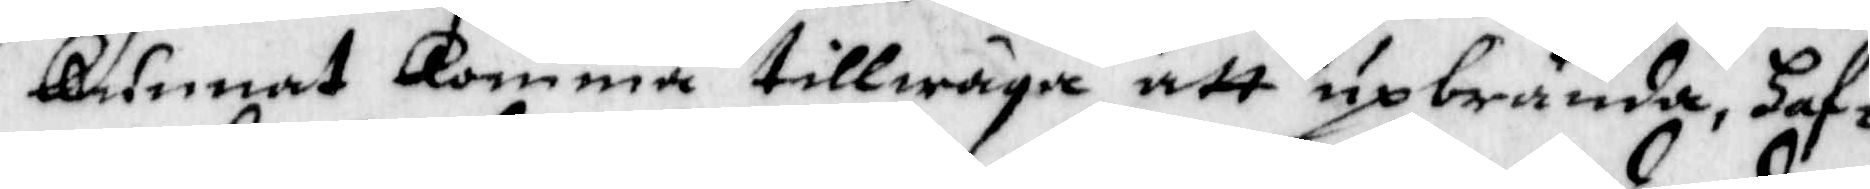kunnat komma tillwäga att upbrända, haf¬
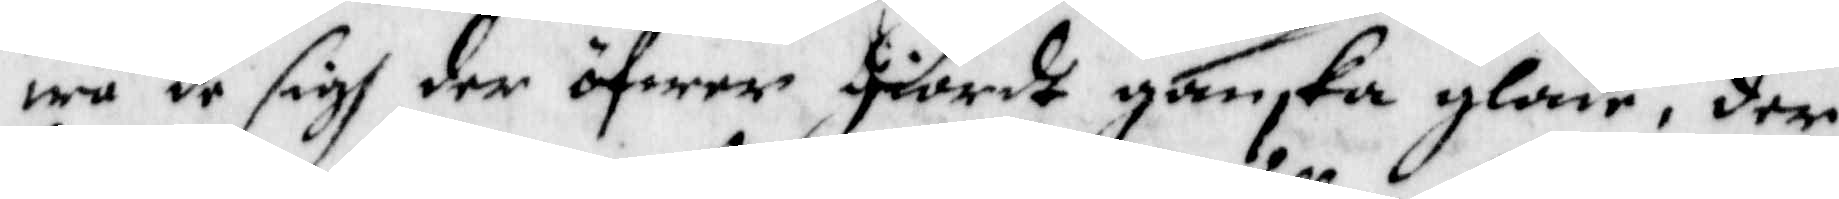wa de sigh der öfwer giorde ganska glade, der
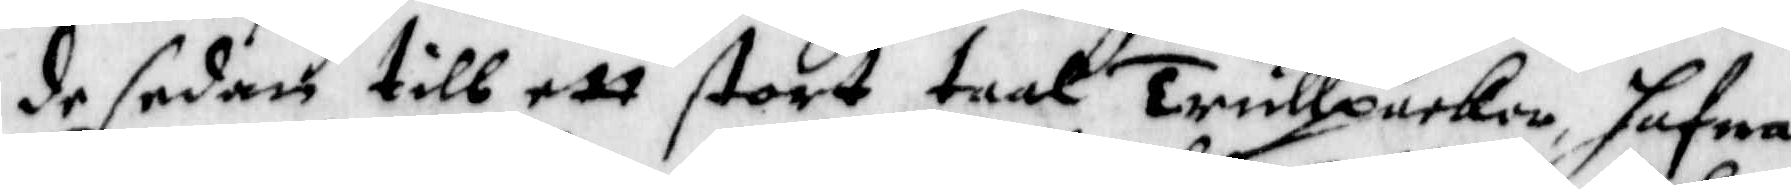de sedan till ett story taal trullpackor, hafwa
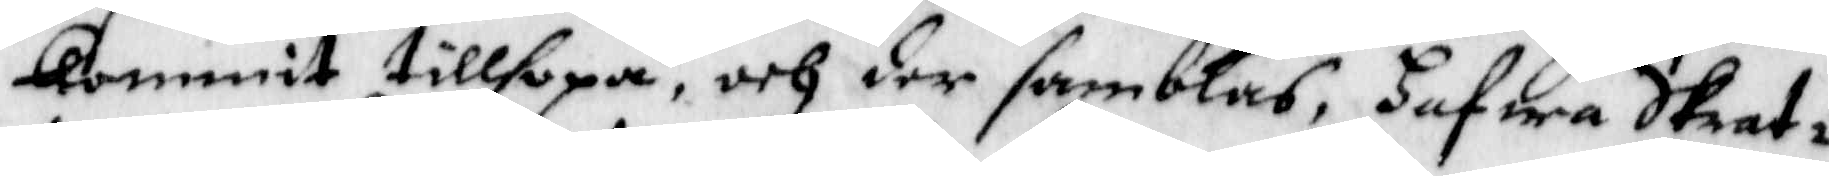kommit tillhopa, och der samblas, hafwa Dkrat¬
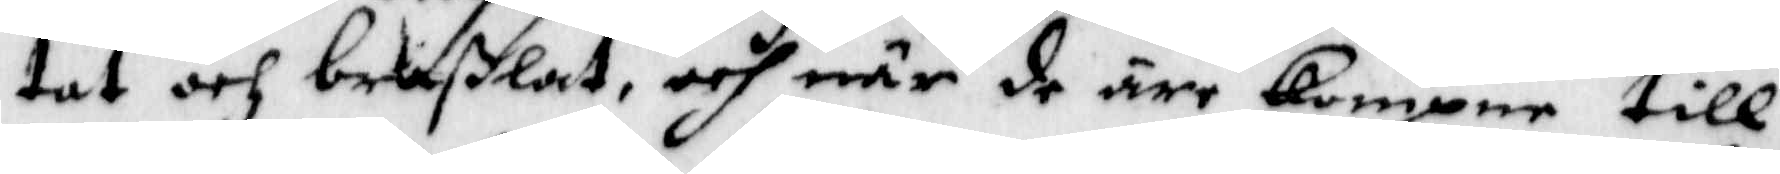tat och braßlat, och när de äre kompne till
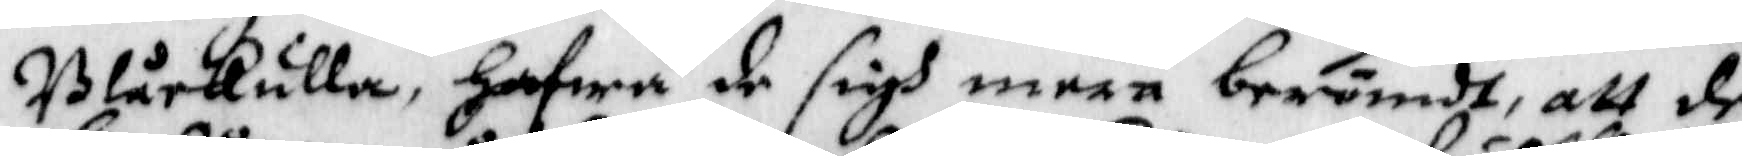Blåkulla, hafwa de sigh mera berömdt, att de
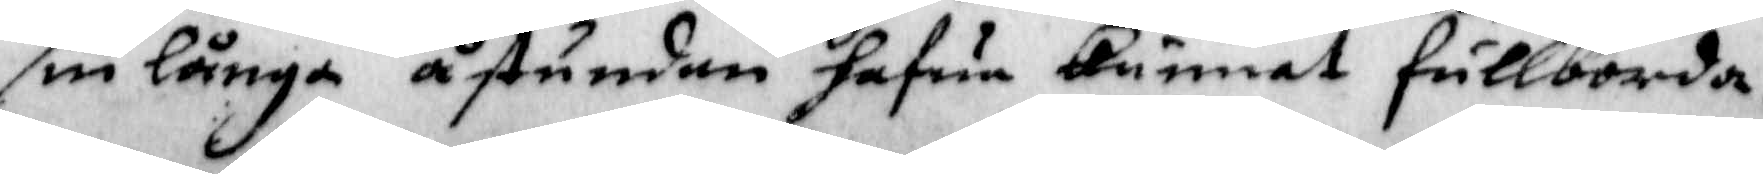sin långa åstundan hafwa kunnat fullborda.
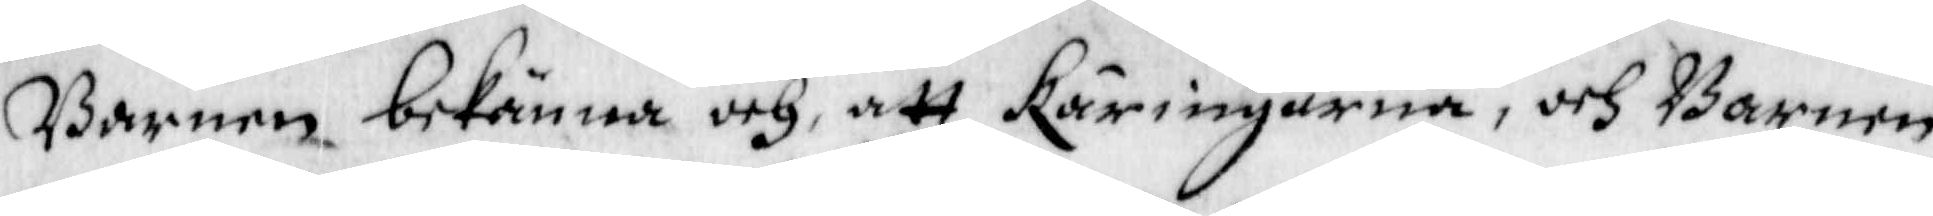Barnen bekänna och, att käringarna, och Barnen
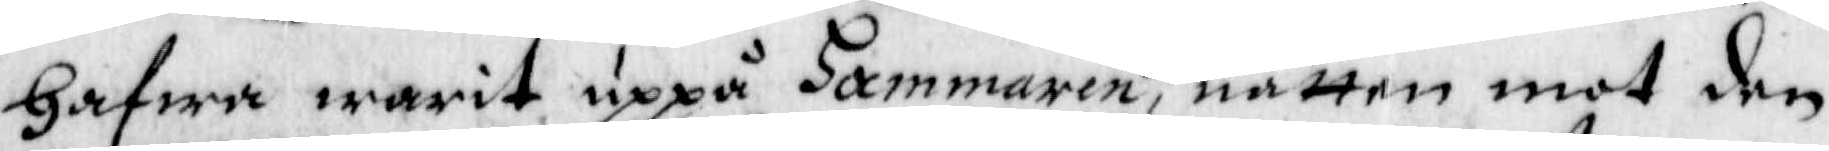hafwa warit uppå hammaren, natten mot den
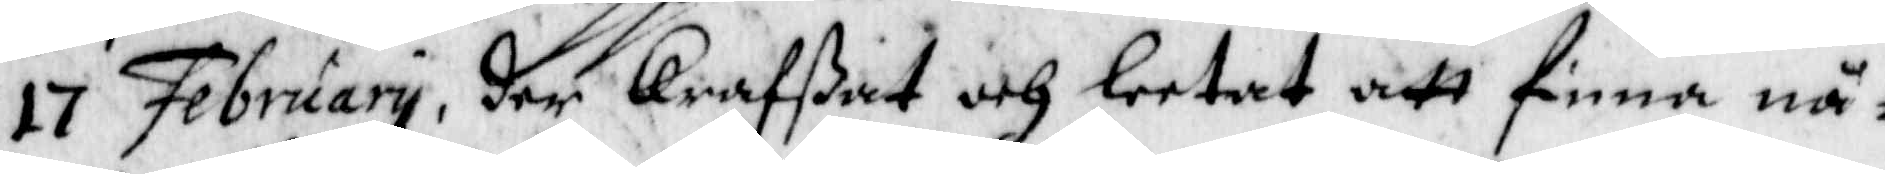17 February, der krafßat och leetat att finna nå¬
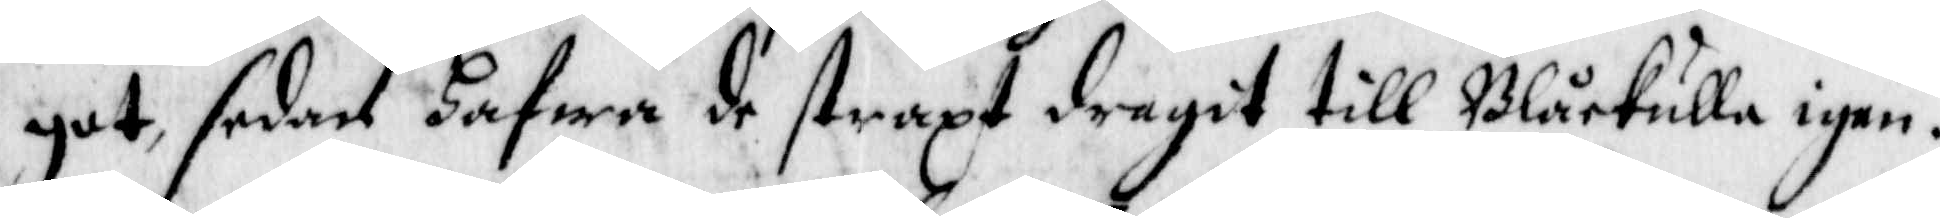got, sedan hafwa de straxt dragit till Blåkulla igen.
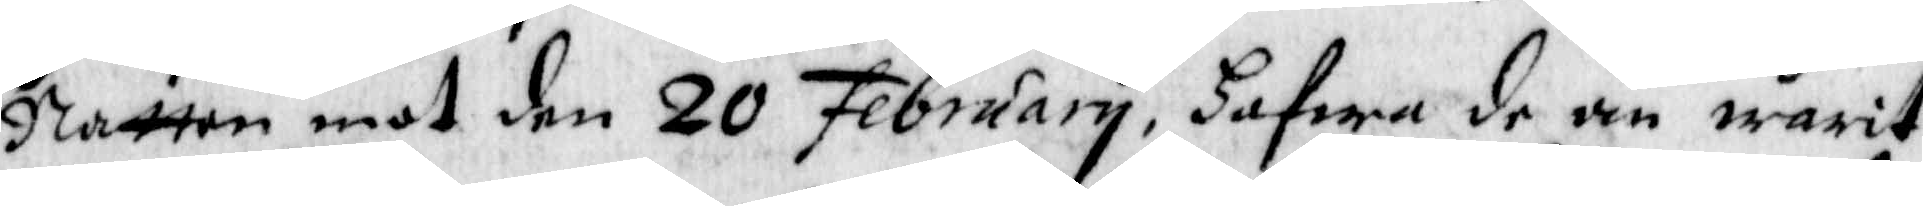Natten mot den 20 February, hafwa de än warit
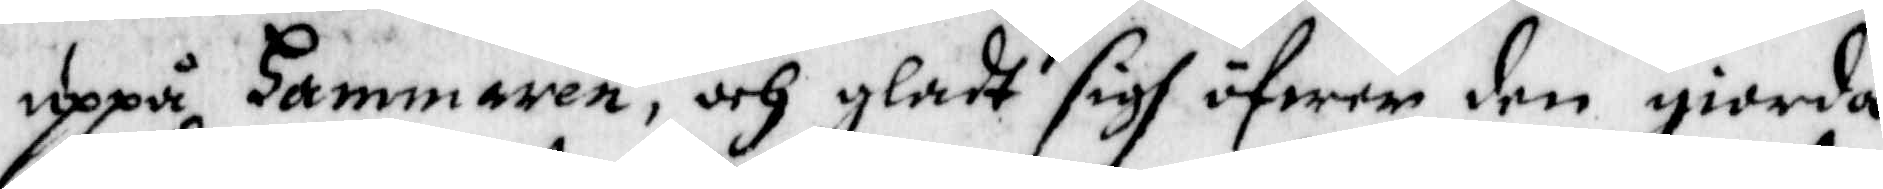uppå hammaren och gladt sigh öfwer den giorda
